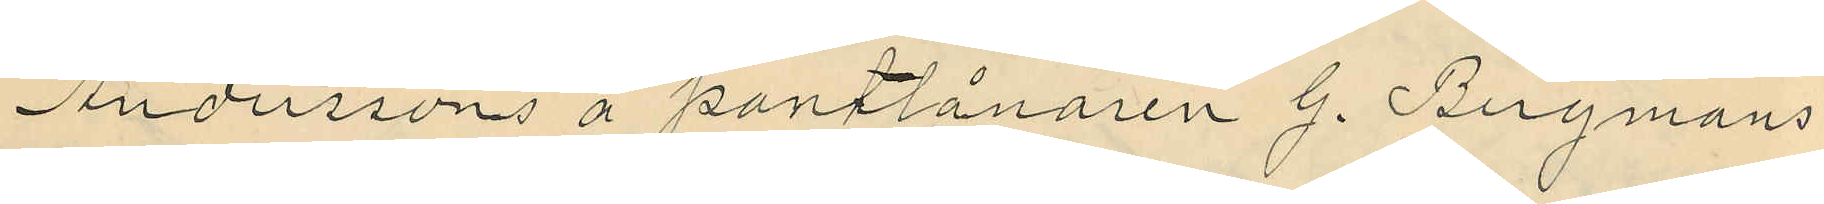Anderssons å pantlånaren G. Bergmans
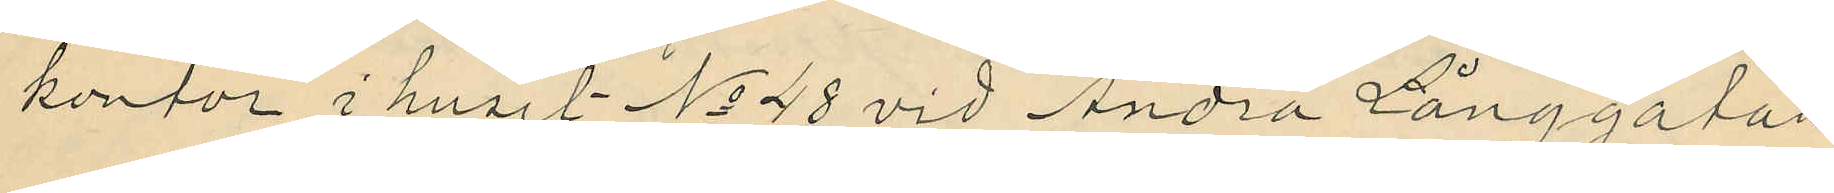kontor i huset No 48 vid Andra Långgatan
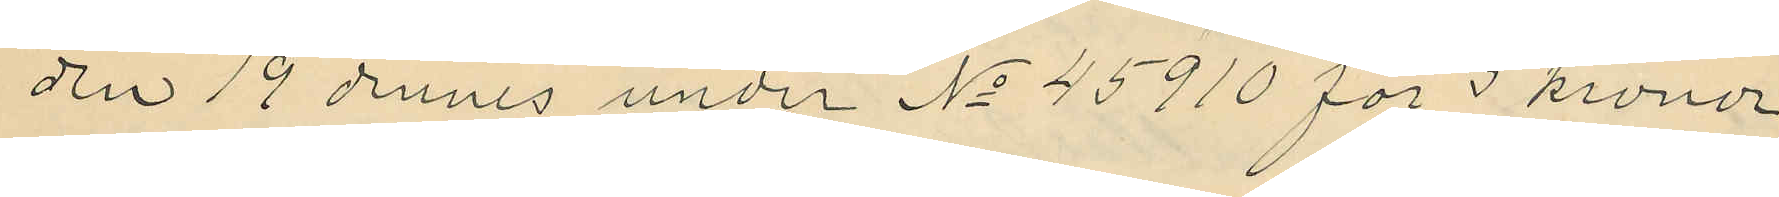den 19 dennes under No 45910 för 5 kronor
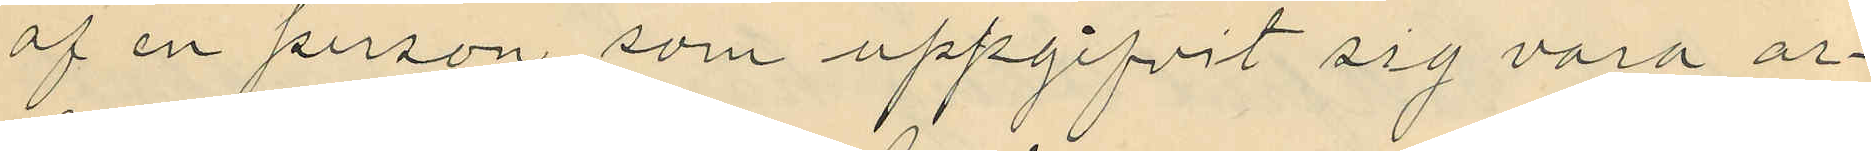af en person som uppgifvit sig vara ar¬
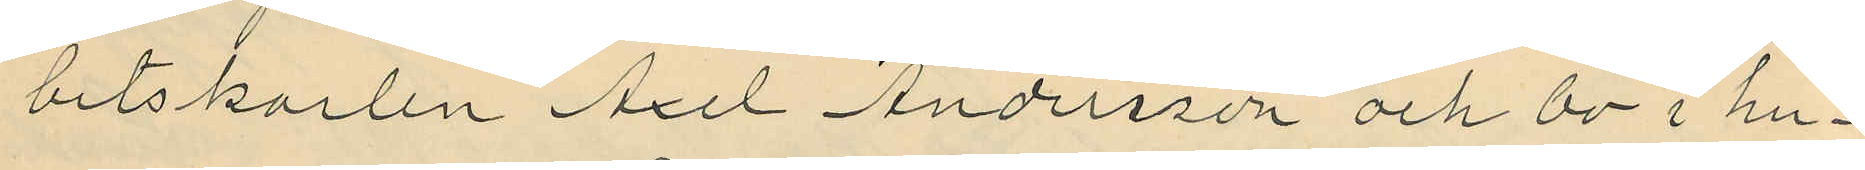betskarlen Axel Andersson och bo i hu¬
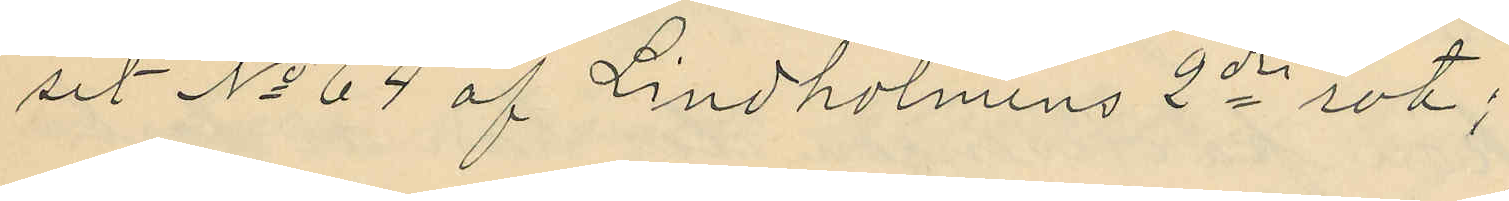set No 64 af Lindholmens 2dre rot;
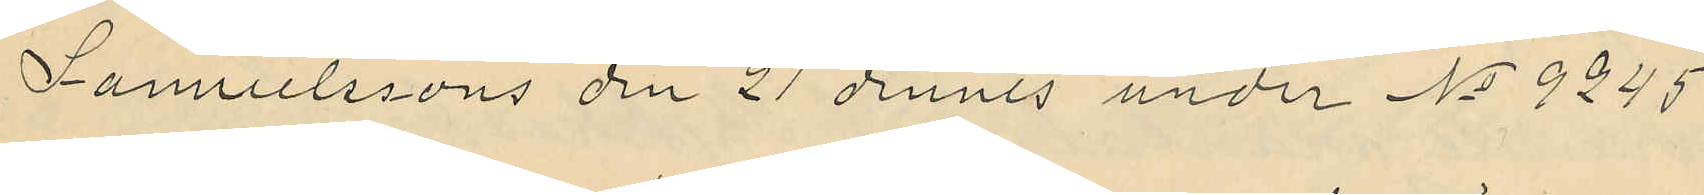Samuelssons den 21 dennes under No 9245
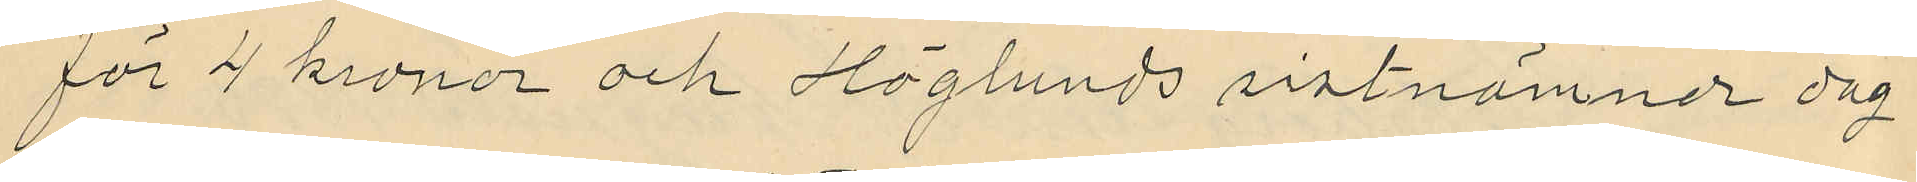för 4 kronor och Höglunds sistnämnde dag
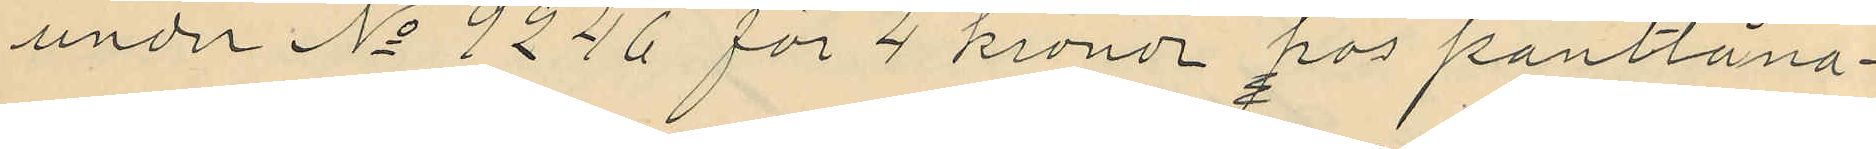under No 9246 för 4 kronor hos pantlåna¬
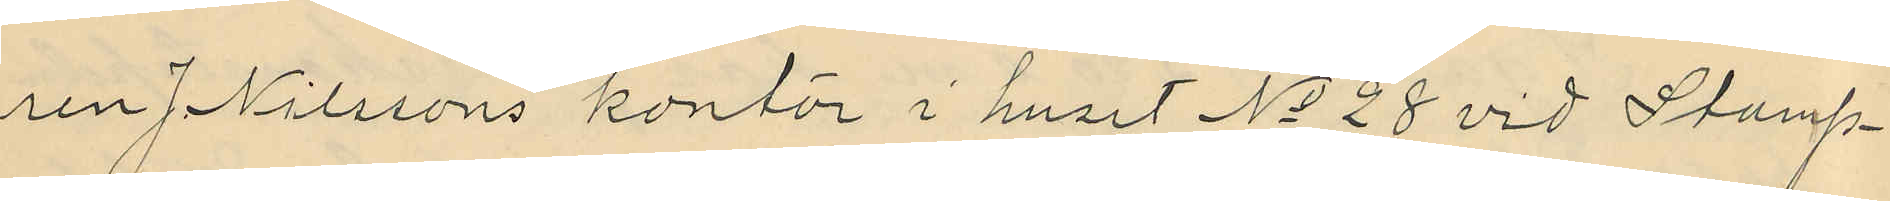ren J. Nilssons kontor i huset No 28 vid Stamp¬
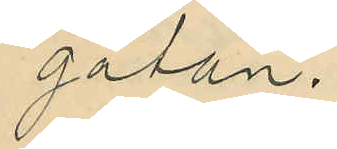gatan.
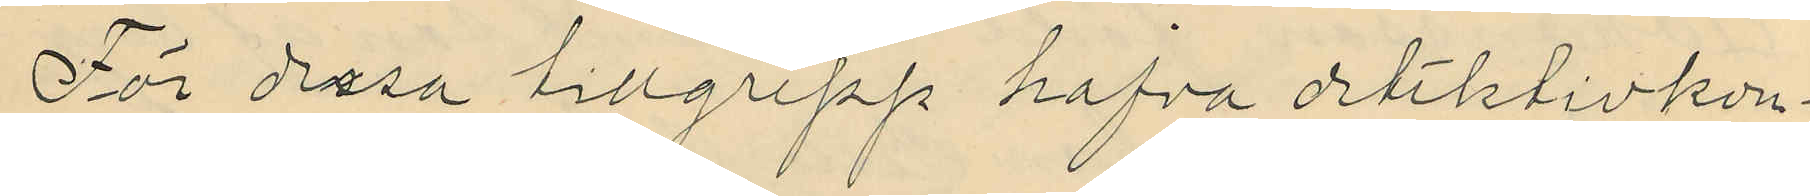För dessa tillgrepp hafva detektivkon¬
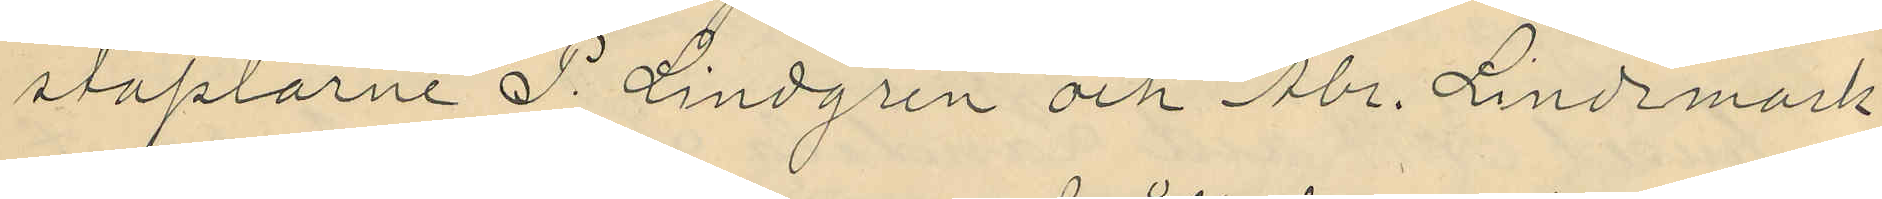staplarne P. Lindgren och Abr. Lindmark
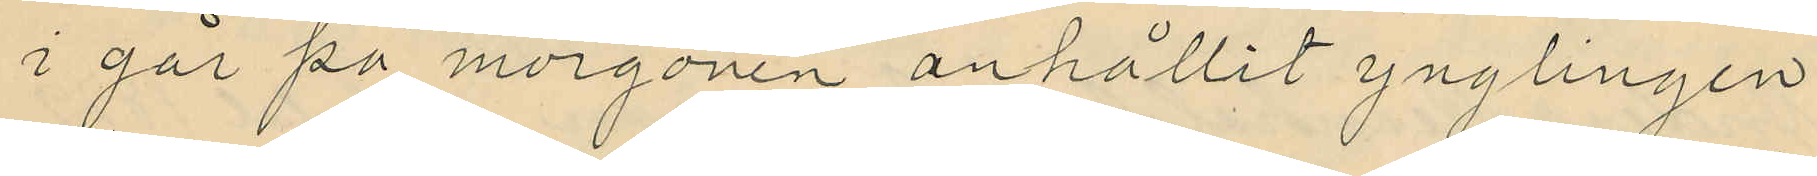i går på morgonen anhållit ynglingen
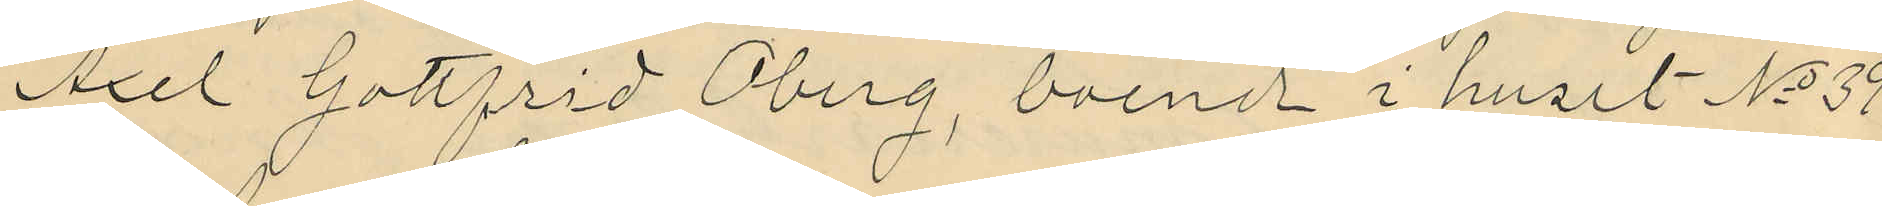Axel Gottfrid Öberg, boende i huset No 39
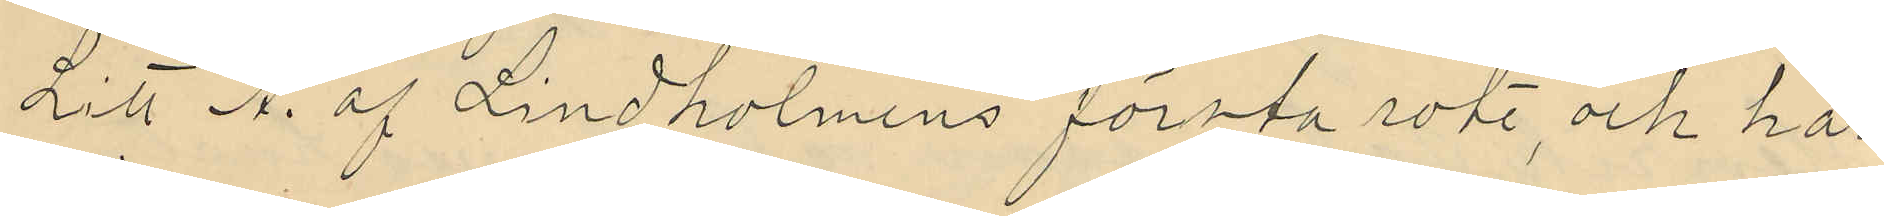Litt A af Lindholmens första rote, och har
